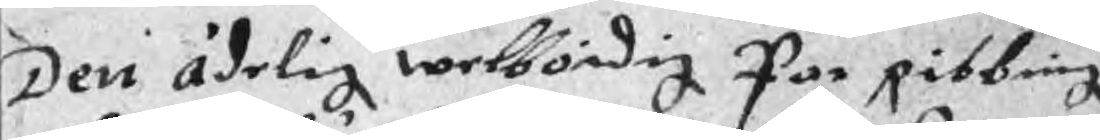Den ädelig welbördig Par Ribbing
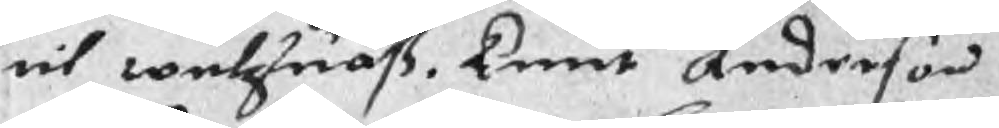til wulzsuaß, kent Anderson
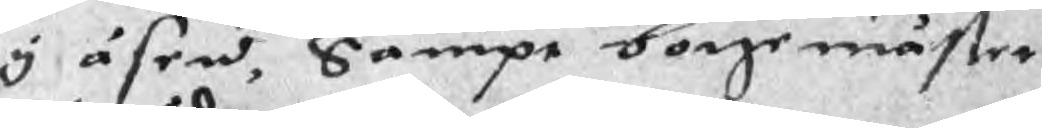y åsen, Sampt borgemäster
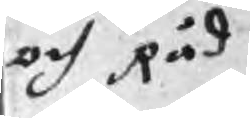och Råd
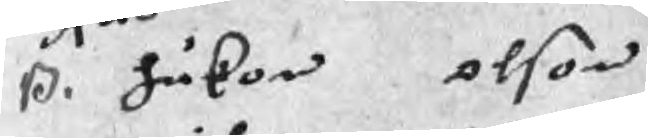ß. håkon olson
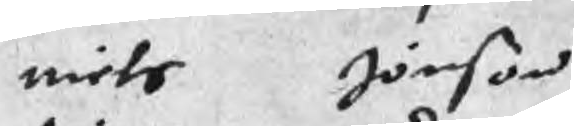niels Jönson
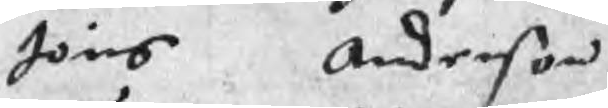Jöns Anderson
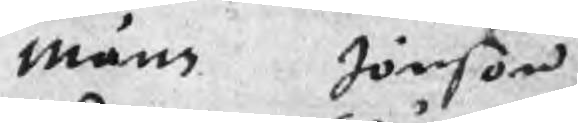måns Jönson
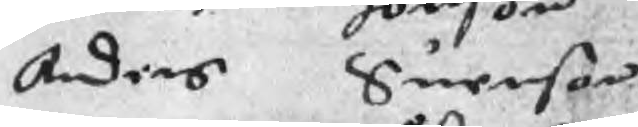Anders Suenson
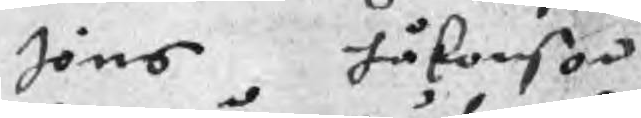Jöns håkonson
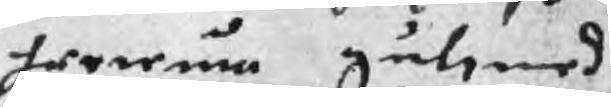hereum gulsmed
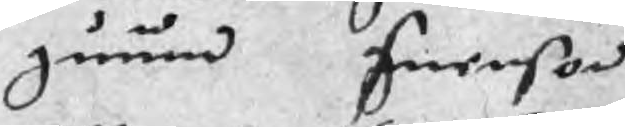guund Suenson
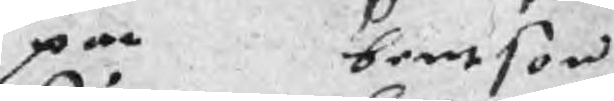par bentson
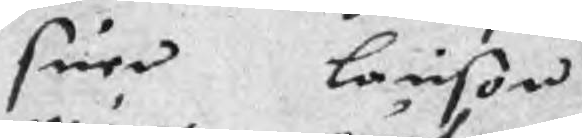suen larison
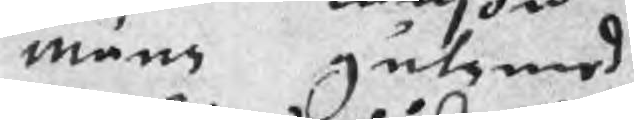måns gulsmed
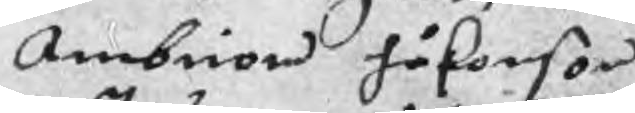Ambiorn håkonson
